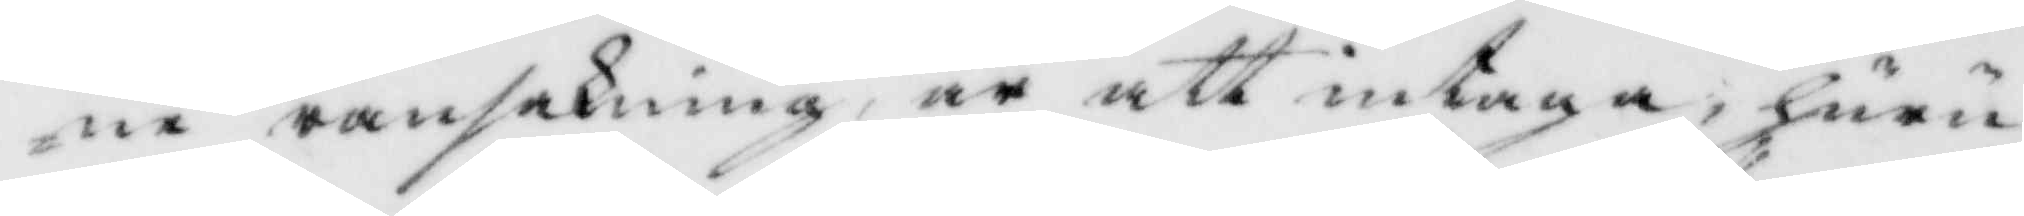ne ransakning, är att intaga, huru
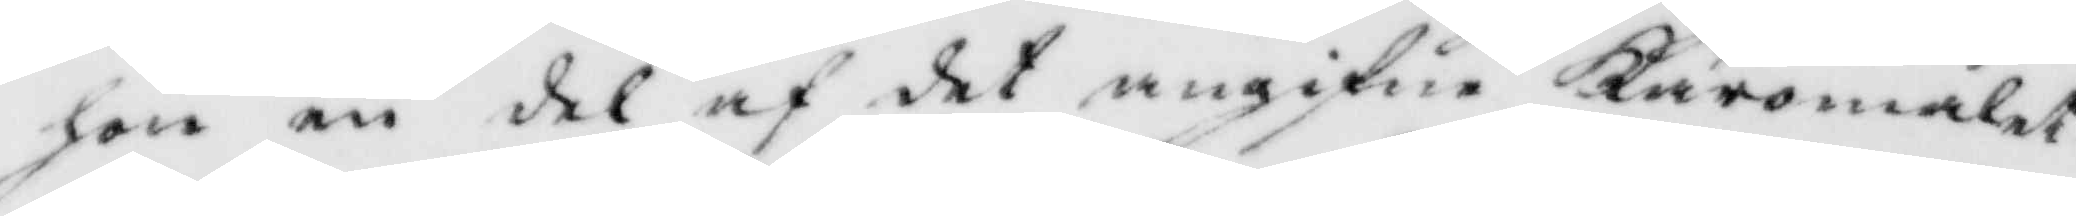hon en del af det angifne Käromålet
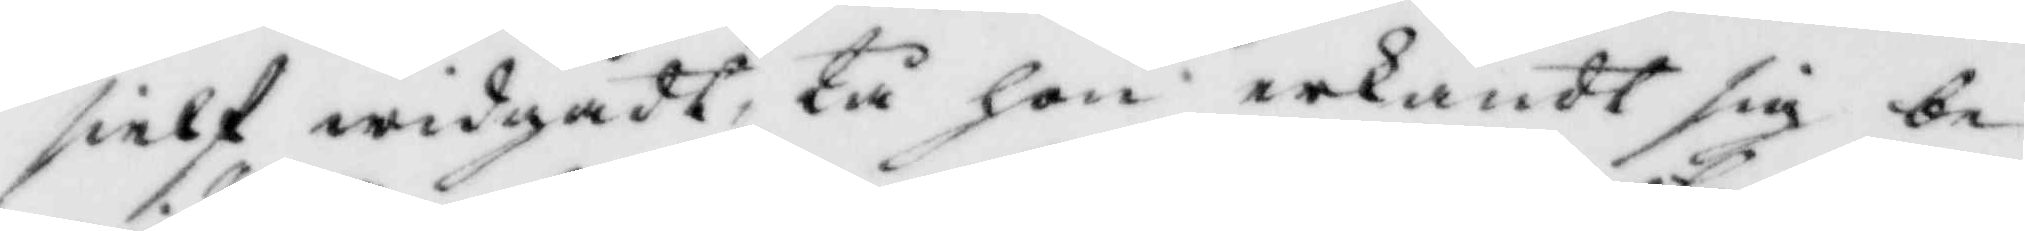sielf widgådt, tå hon erkändt sig be¬
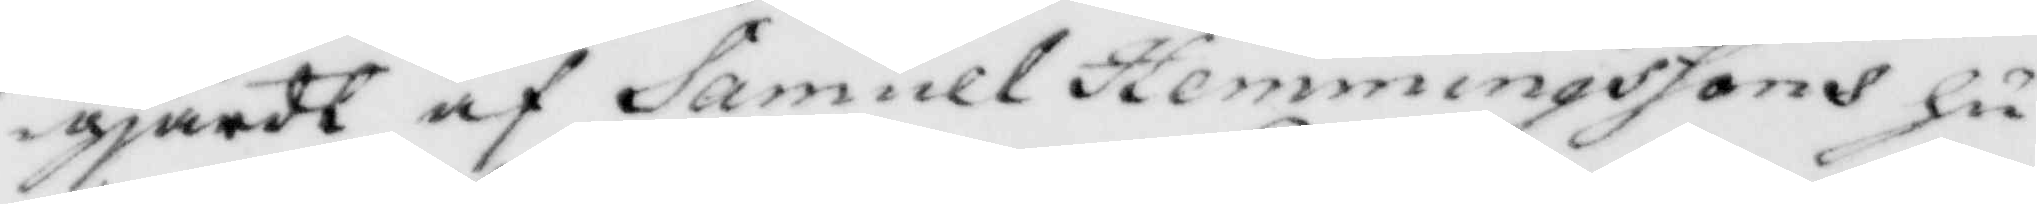gjärt af Samuel hemminssons hu¬
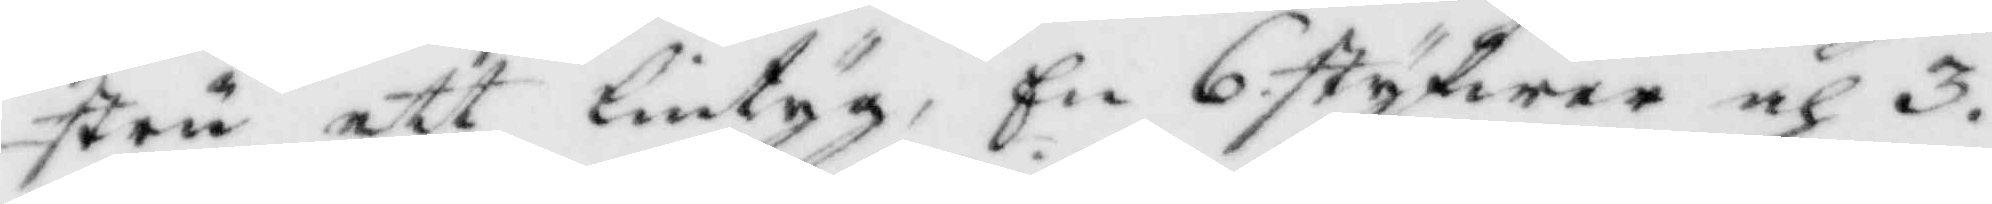stru ett lintyg, En 6. styfwer och 3.
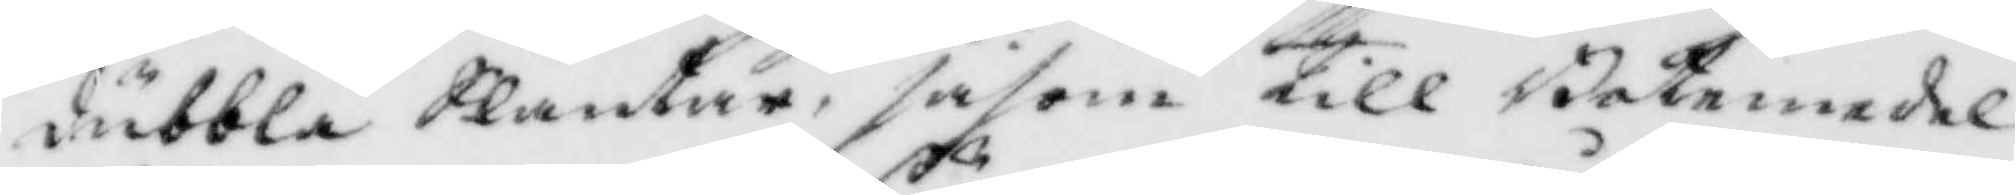dubbla Slantar, såsom till Botemedel
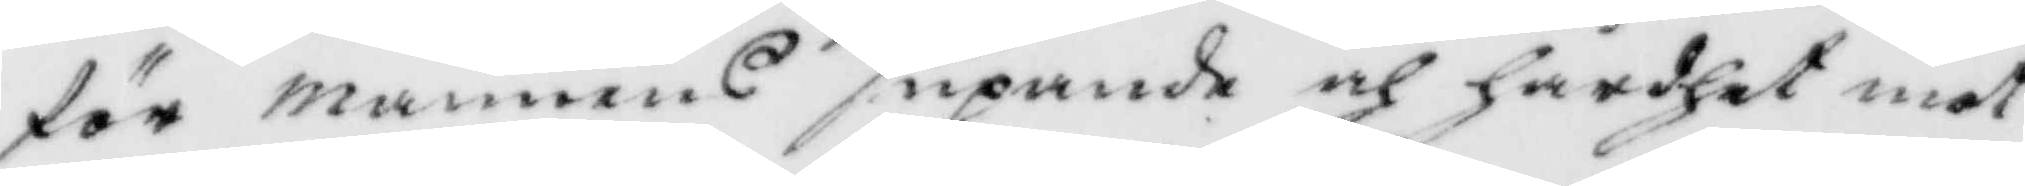för mannens supande och hårdhet mot
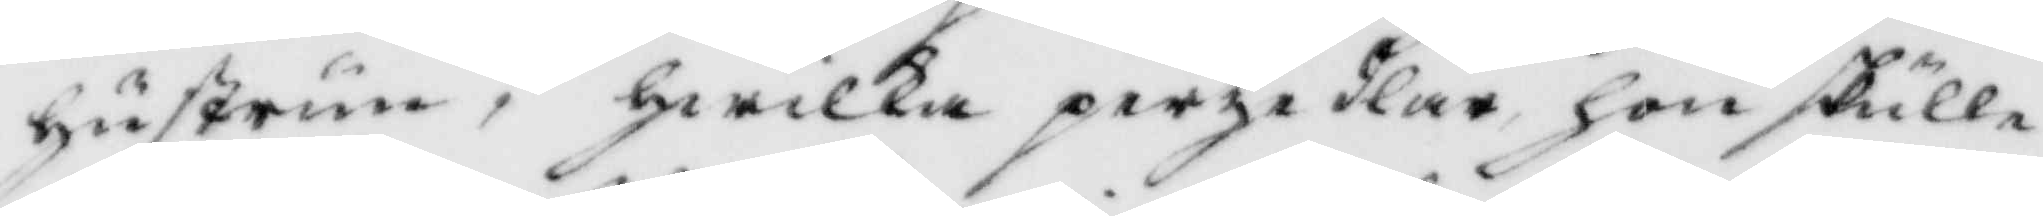hustrun, hwilka persedlar hon skulle
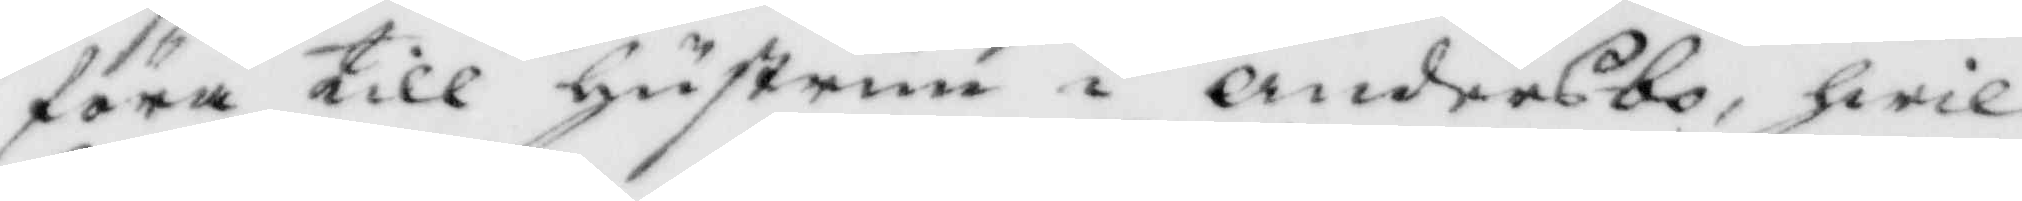föra till hustrun i Andersbo, hwil¬
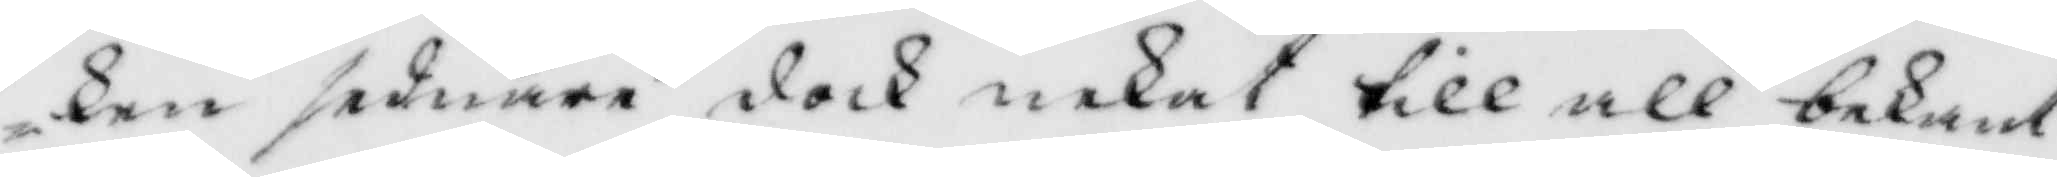ken sednare dock nekat till all bekant¬
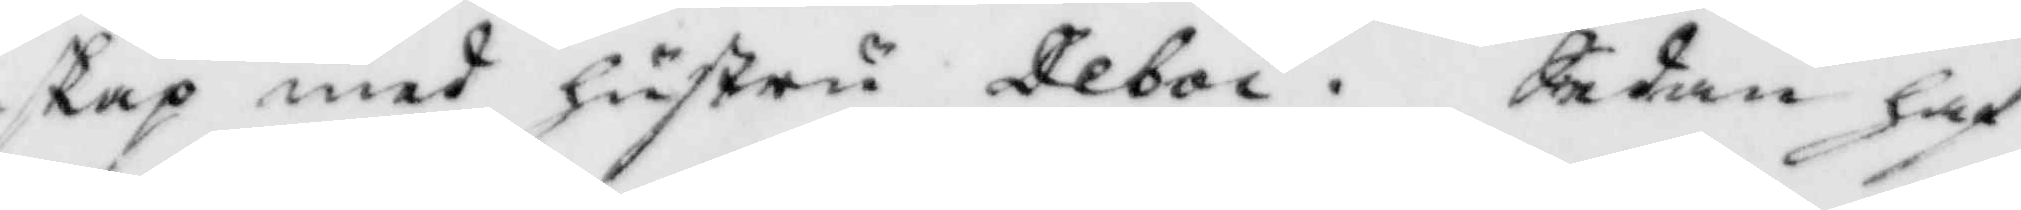skap med hustru Deboi. Sedan haf¬
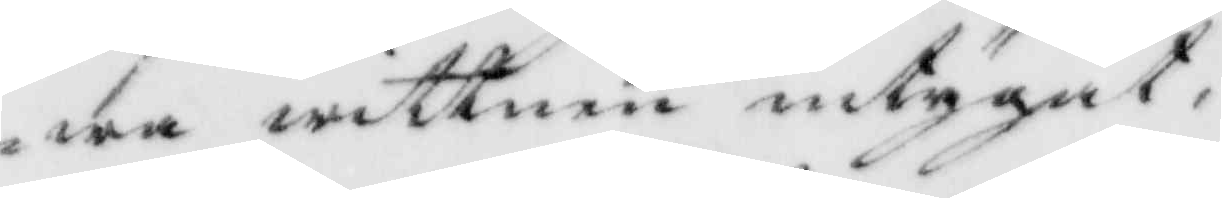wa wittnen intygat,
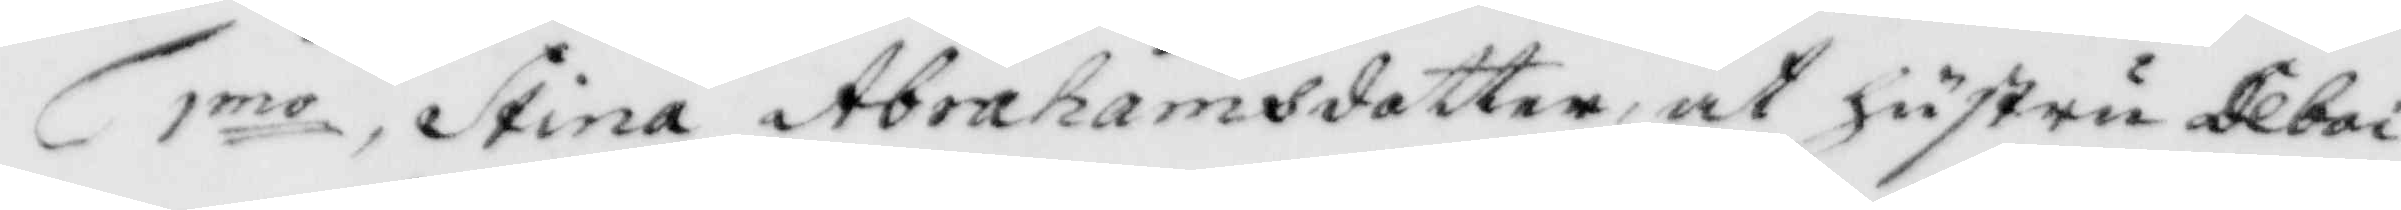1mo Stina Abrahamsdotter, at hustru Deboi
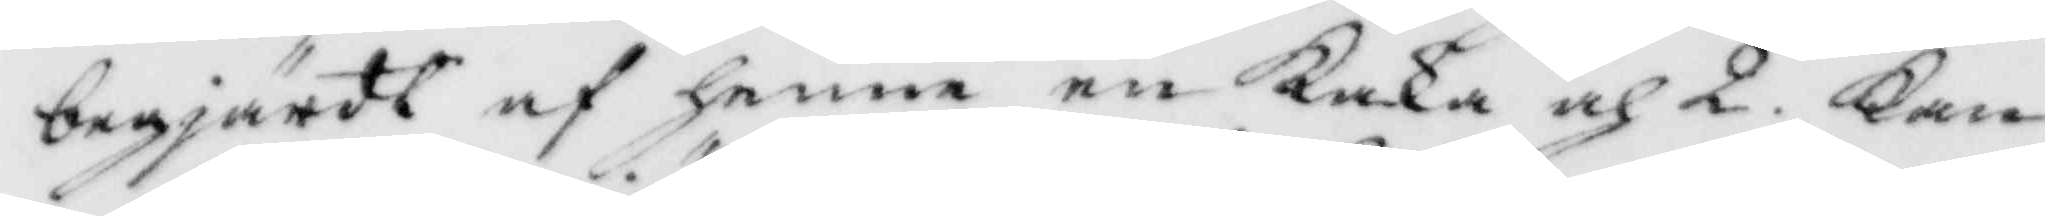begjärdt af henne en Kaka och 2, Kan¬
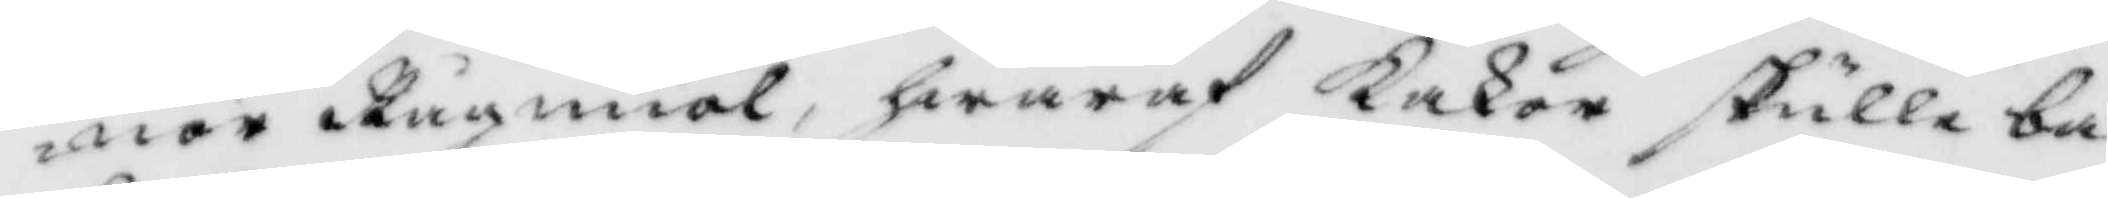nor Rågmiöl, hwaraf Kakor skulle ba¬
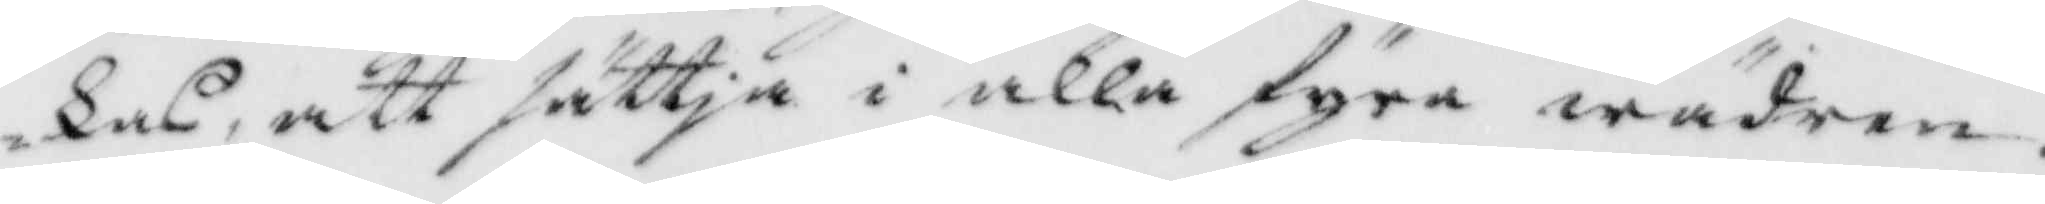kas, att sättja i alla fyra wäder.
